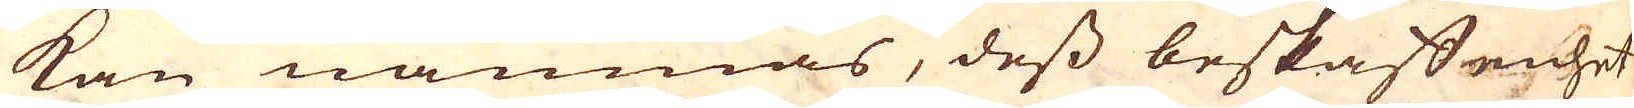kan nämnas, dess beskaffenhet
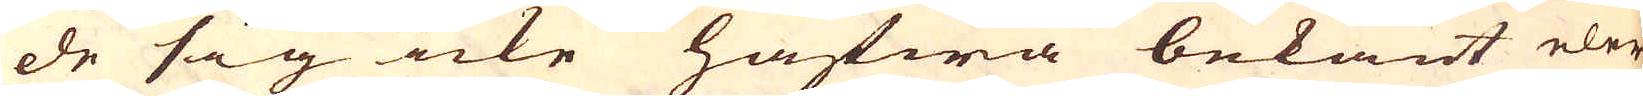de sig icke hafwa bekant eler
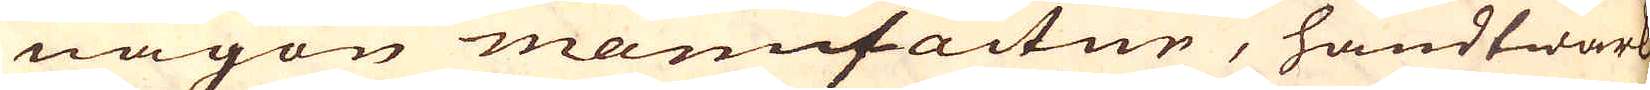någon manufactur, handtwärk,
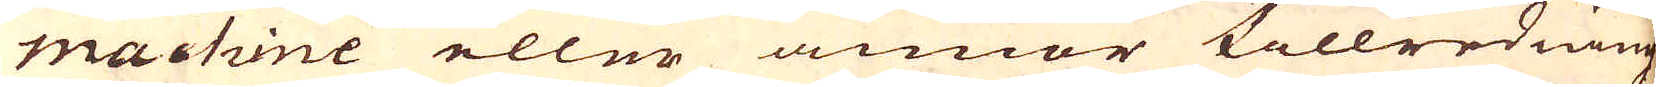machine eller annor tillredning
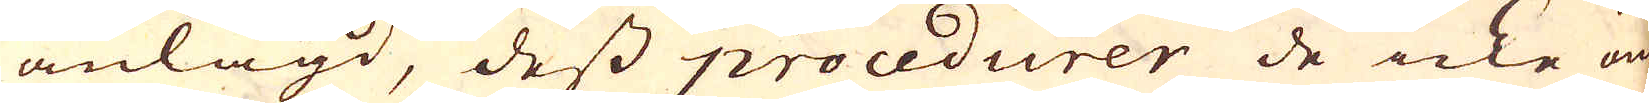anlagd, dess procedurer de icke om-
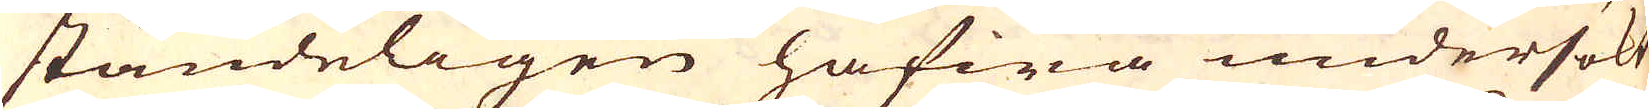ständeligen hafwa undersökt
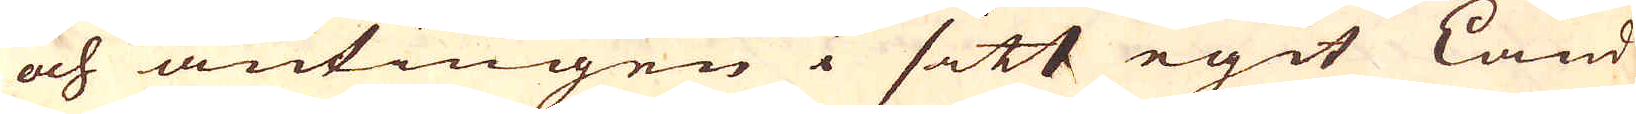och antingen i sitt egit Land
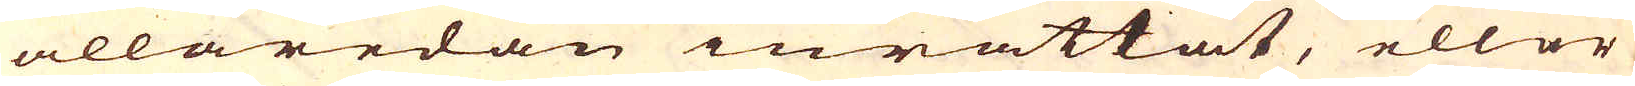allaredan inrättat, eller
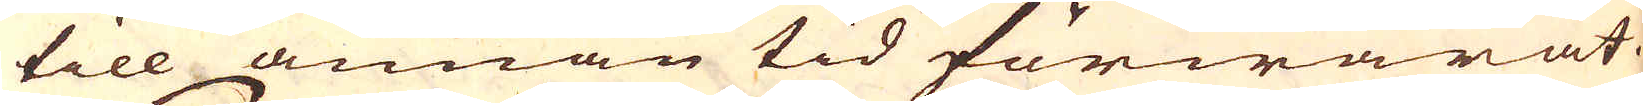till annan tid förwarat.
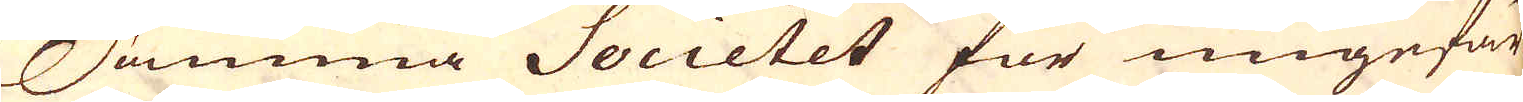Samma Societet för ungefär
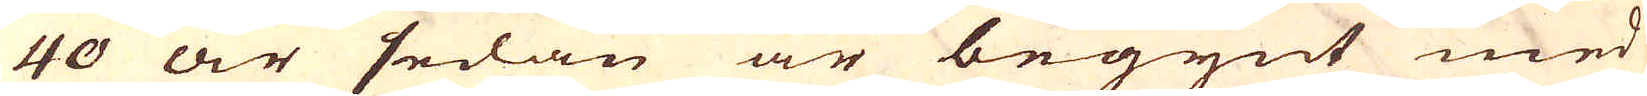40 år sedan är begynt med
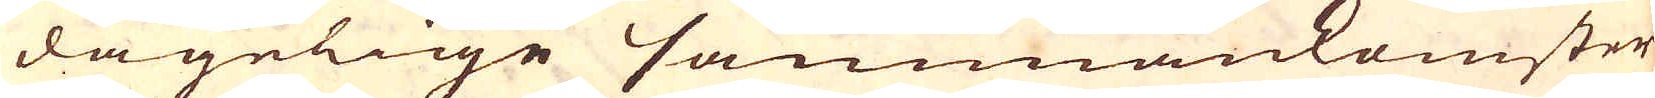dagelige sammankomster
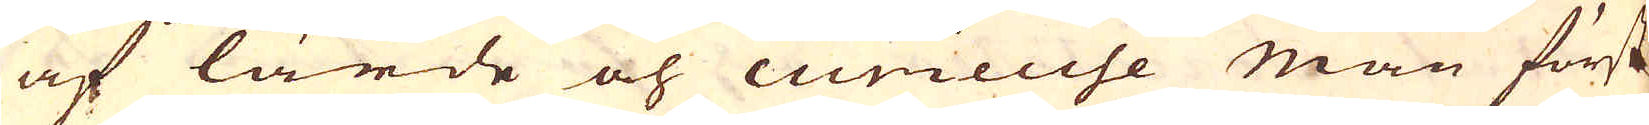af lärde och curieuse män först
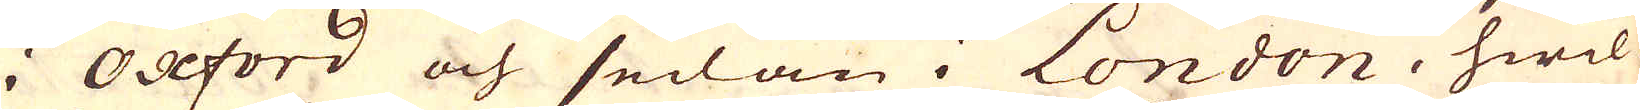i Oxford och sedan i London, hwil-
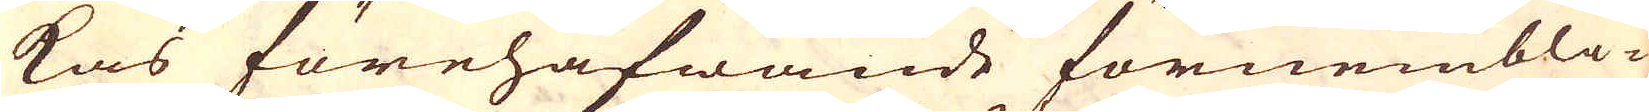kas förehafwande förnembli-
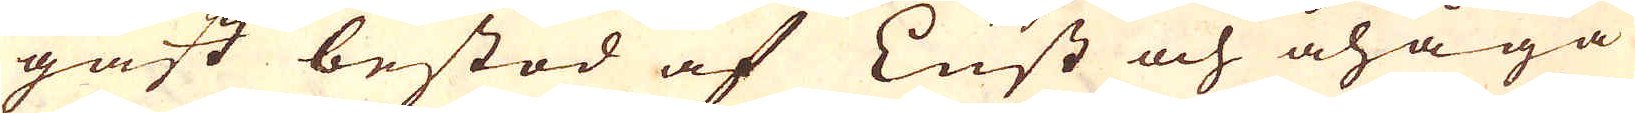gast bestod af Lust och åhåga
